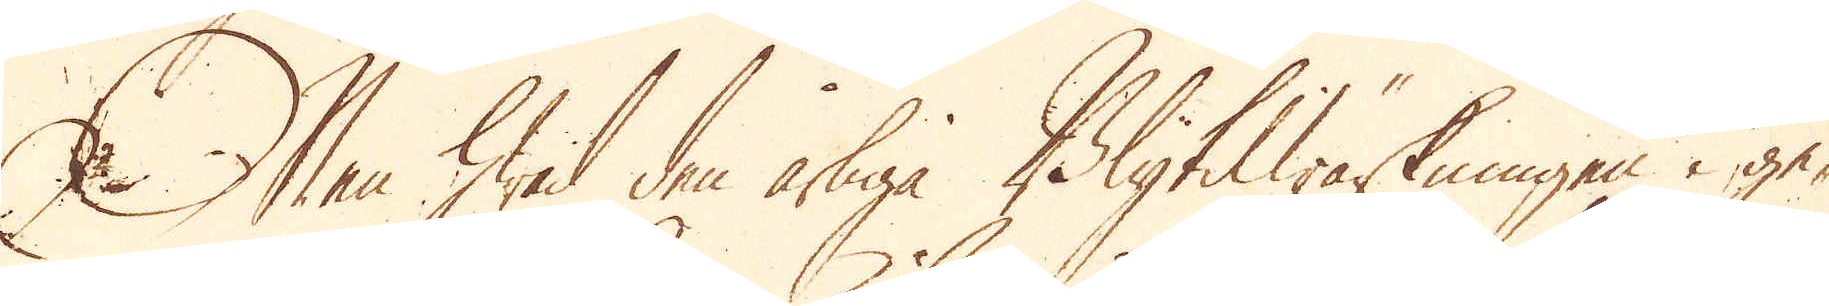Men hwid den årliga Blytilwärkningen i ge-
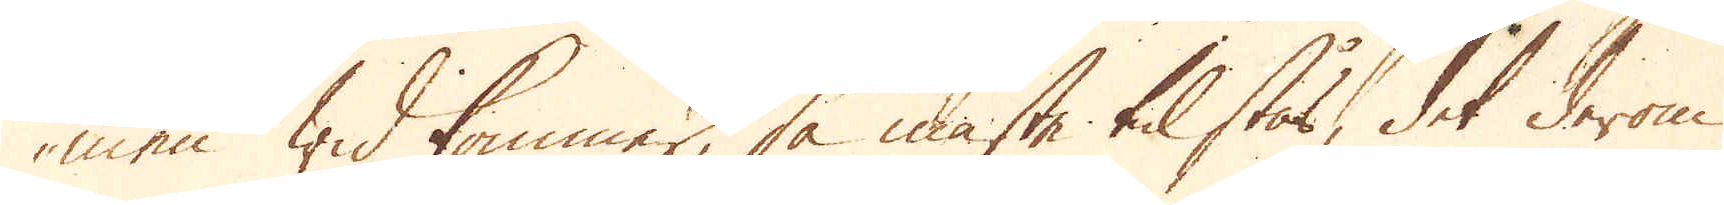men widkommer, så måste tilstås, det derom
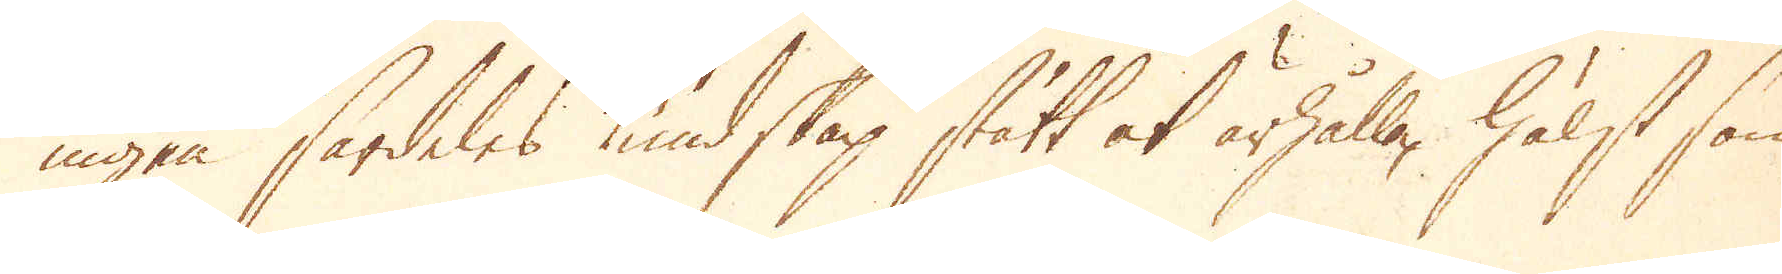ingen särdeles kundskap stått at ärhålla, hälst som
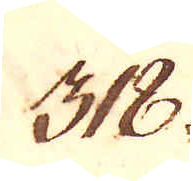318.
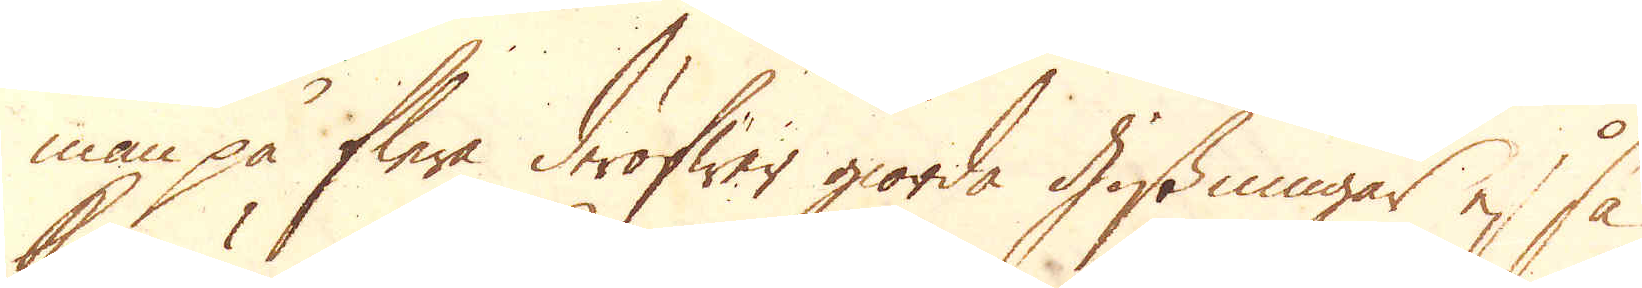man på flere deröfwer giorda gissningar ej så
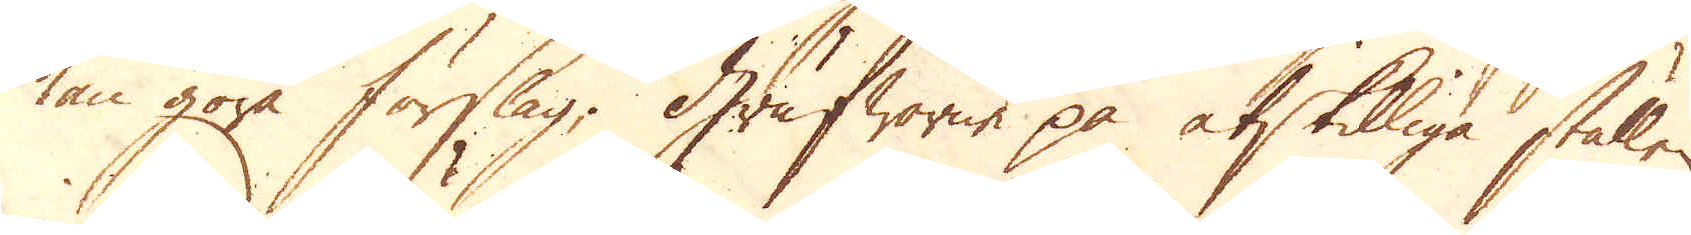kan göra förslag. Grufworne på åtskilliga ställen
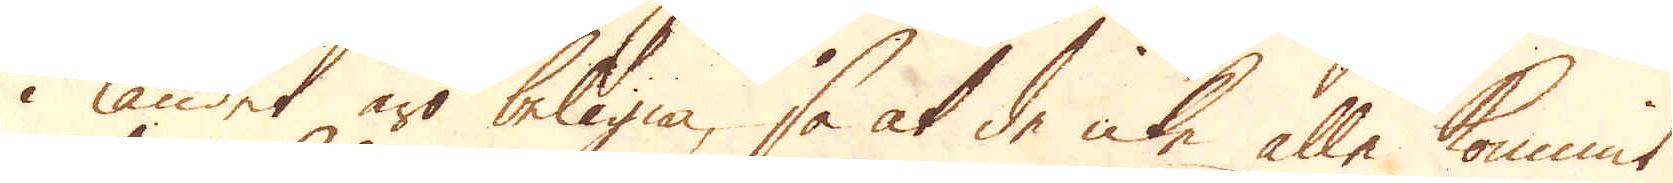i landet äro belägna, så at de icke alle kommit
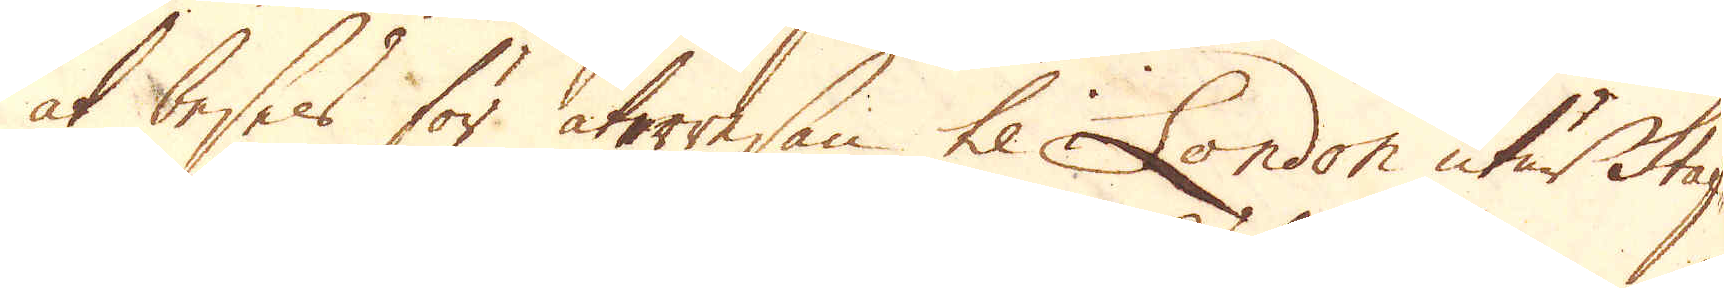at beses för återresan til London utur Staf-
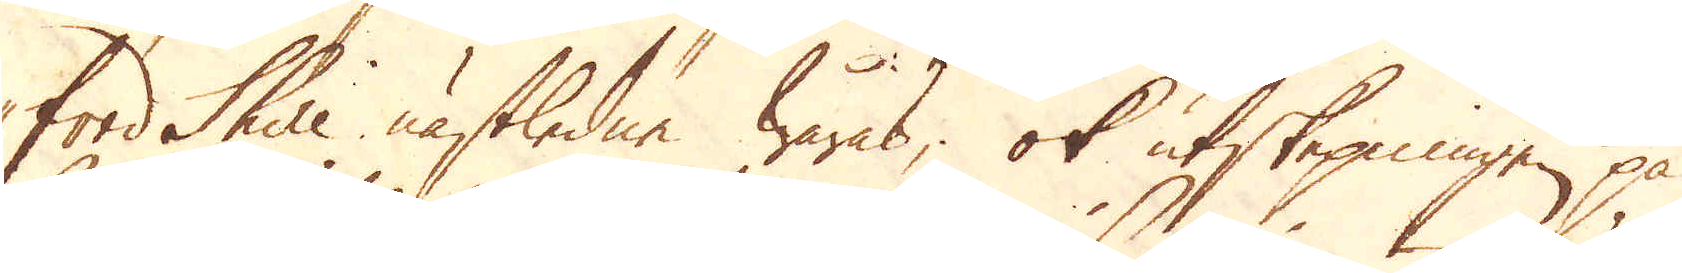ford Shire nästledne wåras; ok utskepningen på
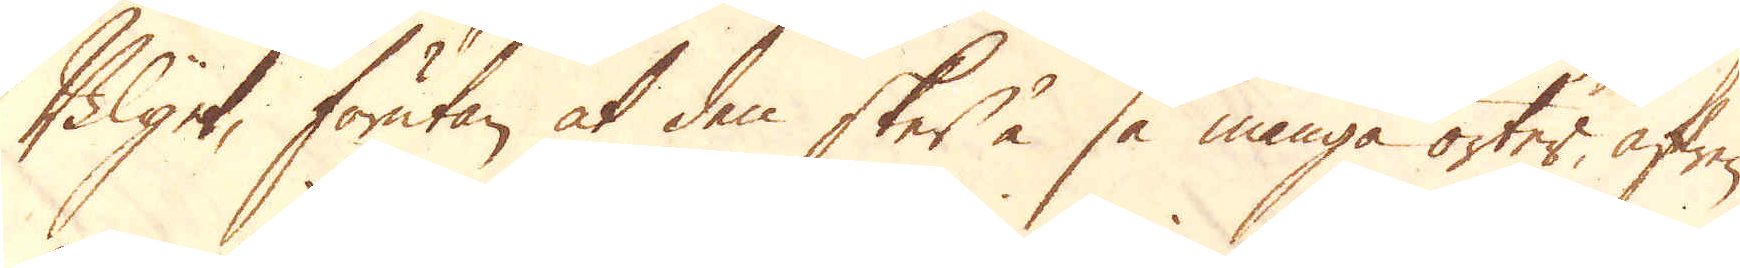Blyet, förutan at den sker å så många orter, äfwen
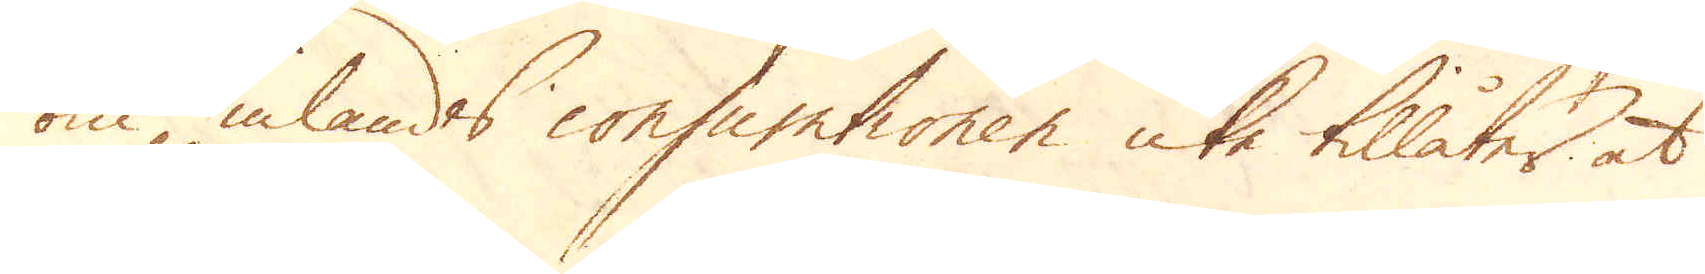om inlandes consumtionen icke tillåter, at
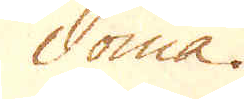döma.
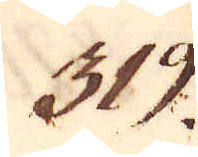319.
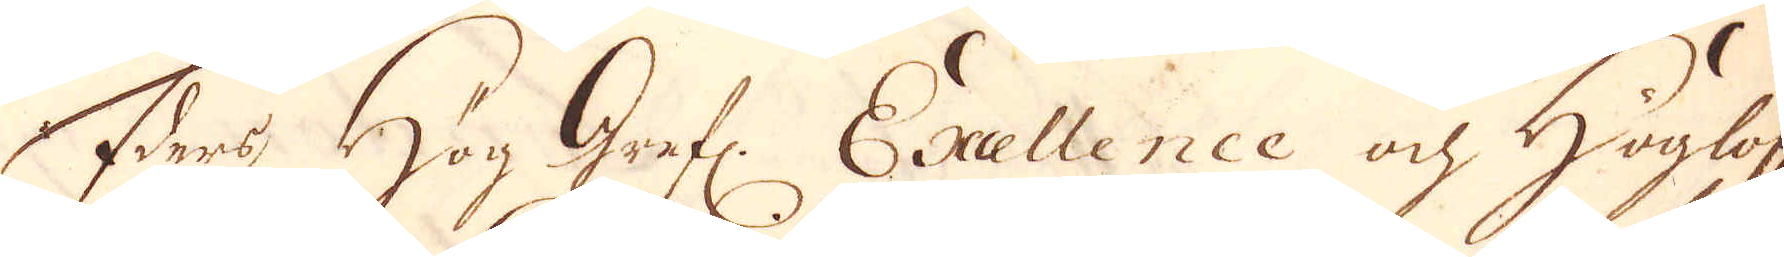Eders Höggrefl: Excellence ok Höglofl.
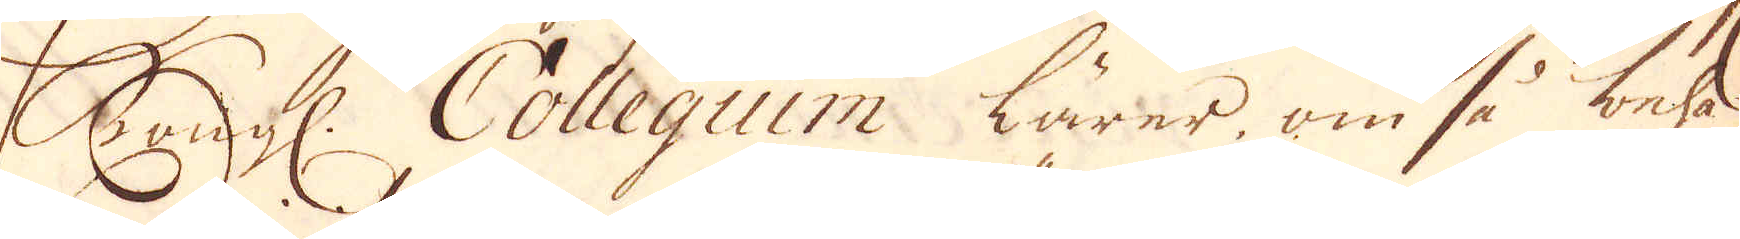Kongl. Collegium lärer, om så beha-
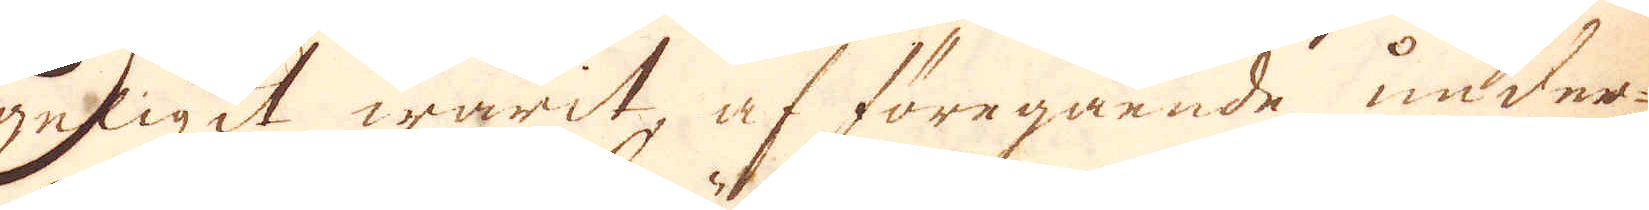geligit warit, af föregående under-
